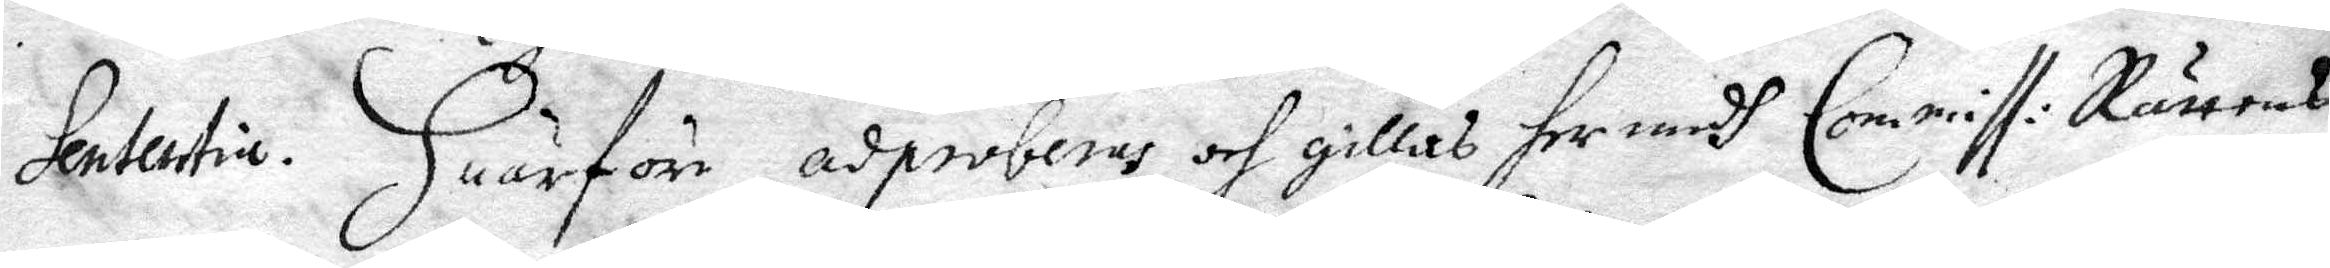Sententia. Huarföre adproberas och gillas her medh Commiss: Rättens
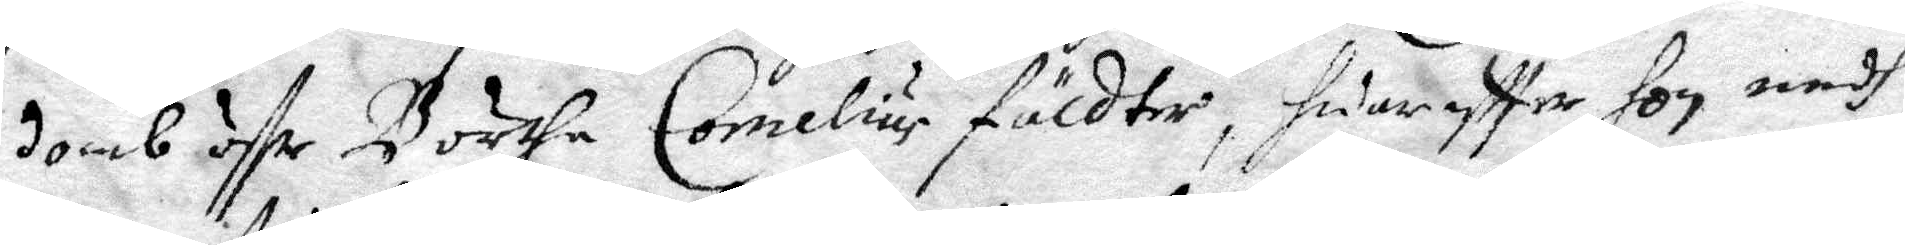domb öffr Börtha Cornelius fäldter, huareftter hon medh
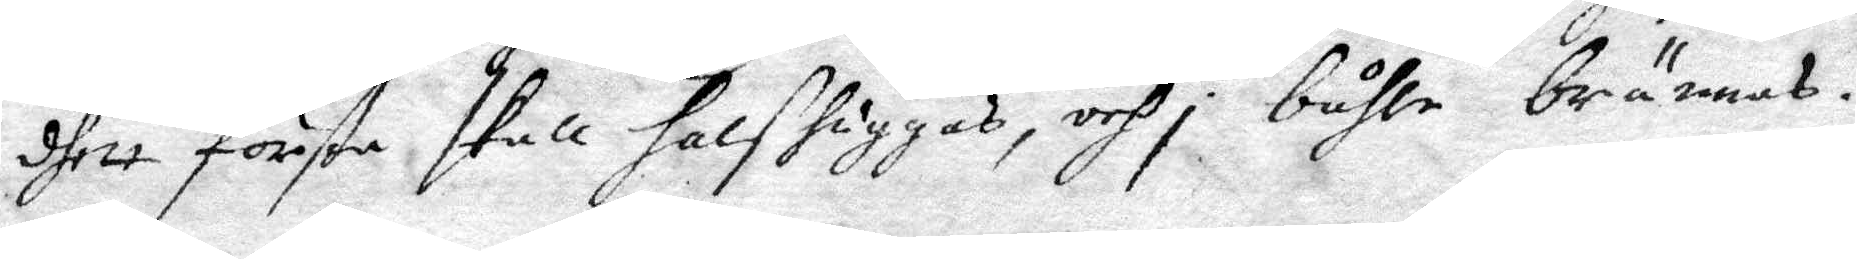dhett första skall halshuggas, och i båhle brännas.
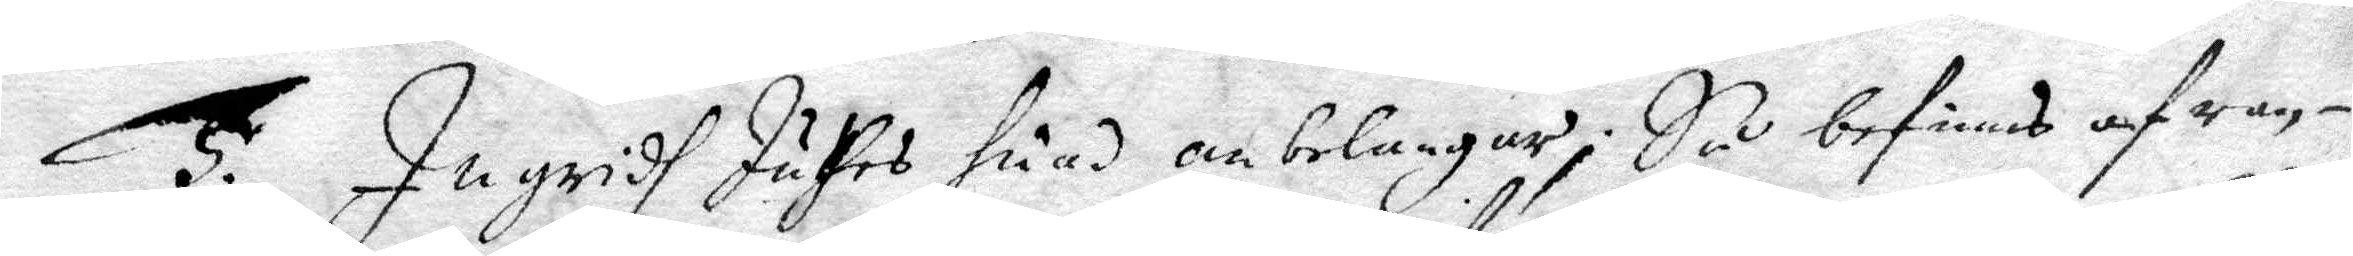5. Ingridh Juthes huad anbelangar; Så befinns af ran¬
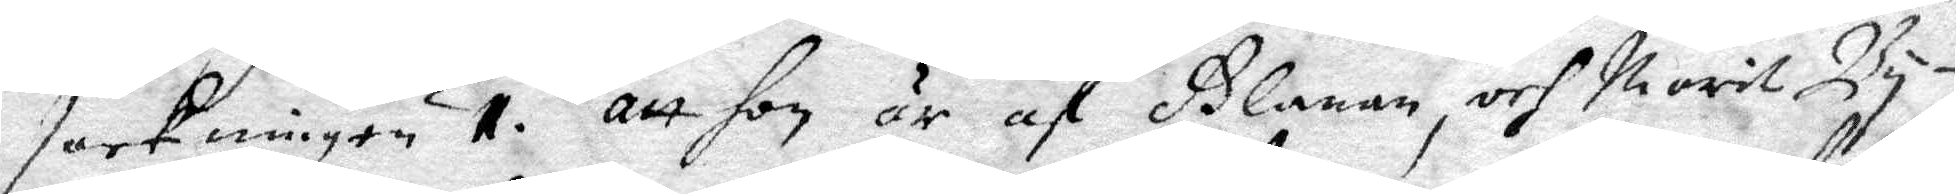sakningen 1. att hon af Glanan, och Marit By¬
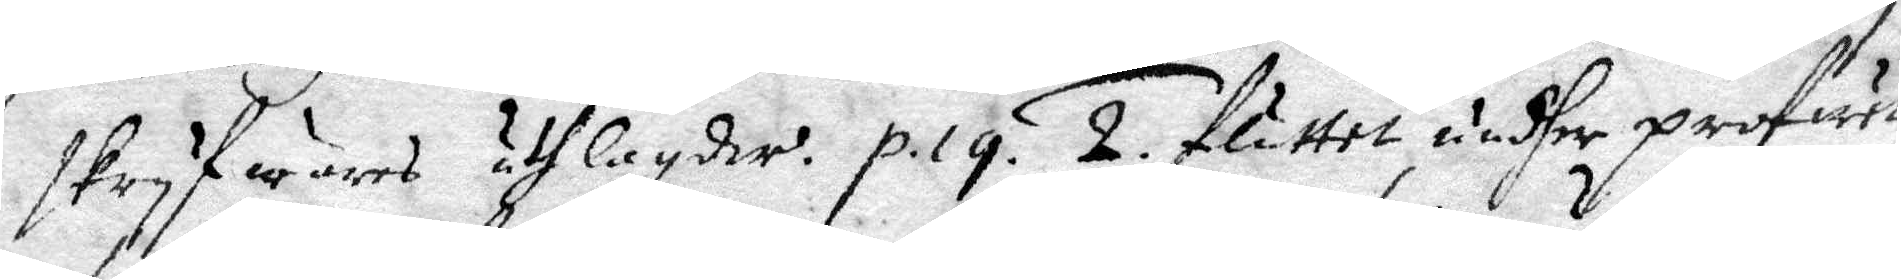skryfwares uthlagdher. p. 19. 2 fluttet undher profwett,
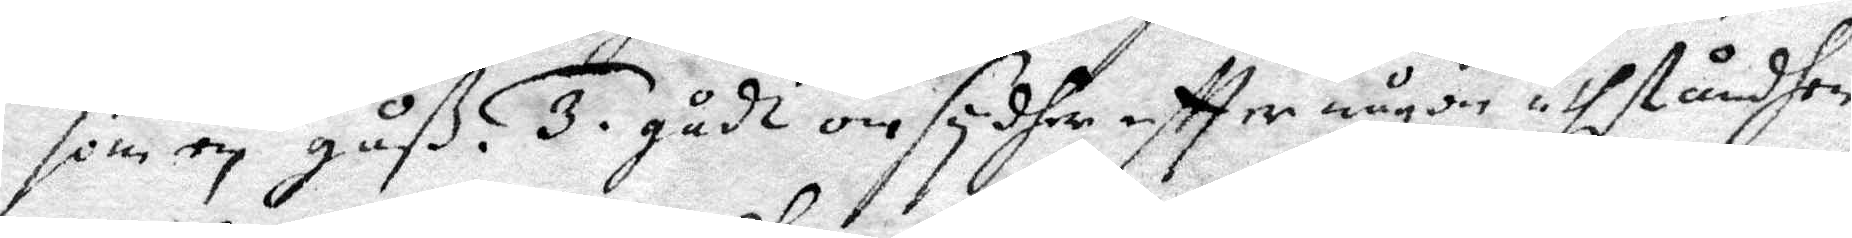som en gåß. 3. gådt omsydher eftter någon uthståndhen
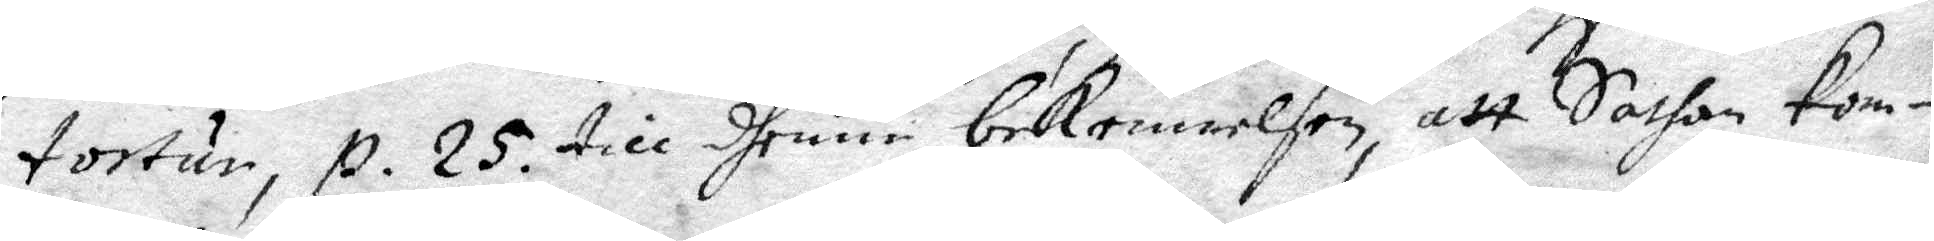tortur, p. 25. till dhenne bekennelsen, att Sathan kom¬
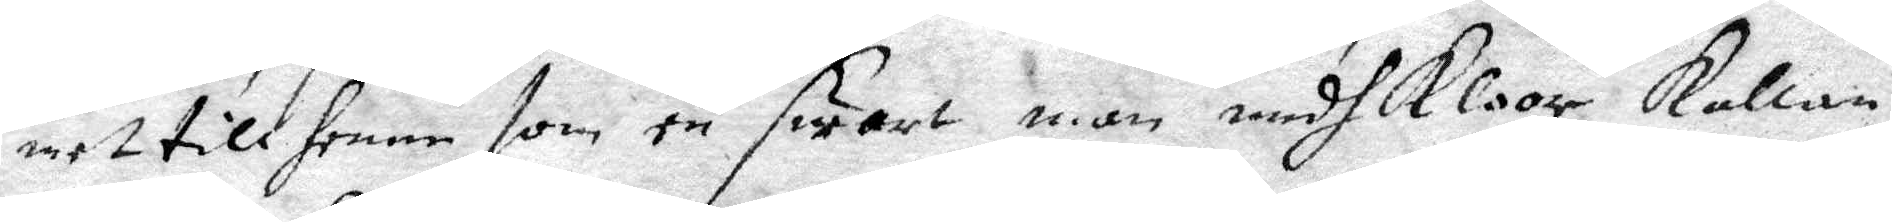met till hennen som en swart man medh kloor, kallan¬
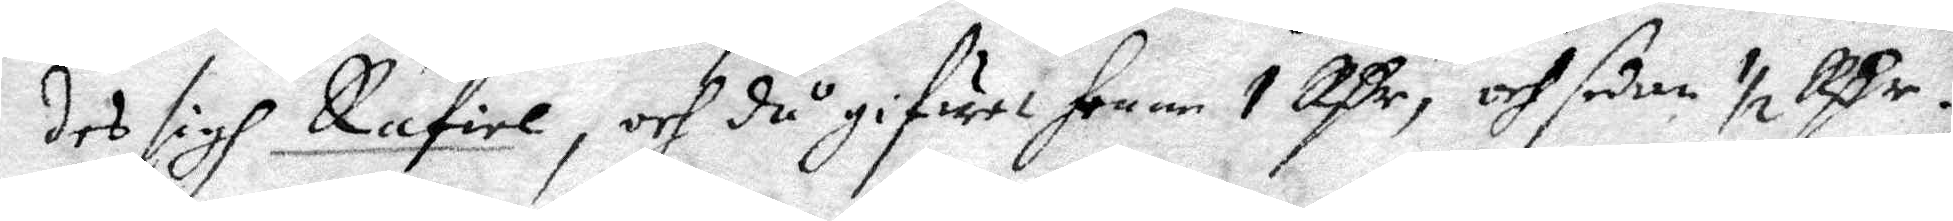des sigh Rafiel, och då gifwet henne 1 Rßr, och sedan ½ Rßr.
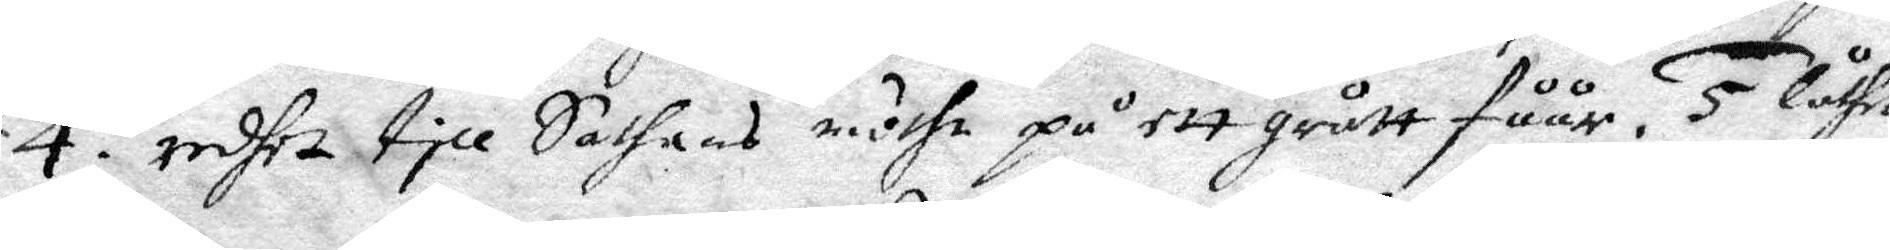4. redhet till Sathans möthe på ett grått fåår. 5. Låthe
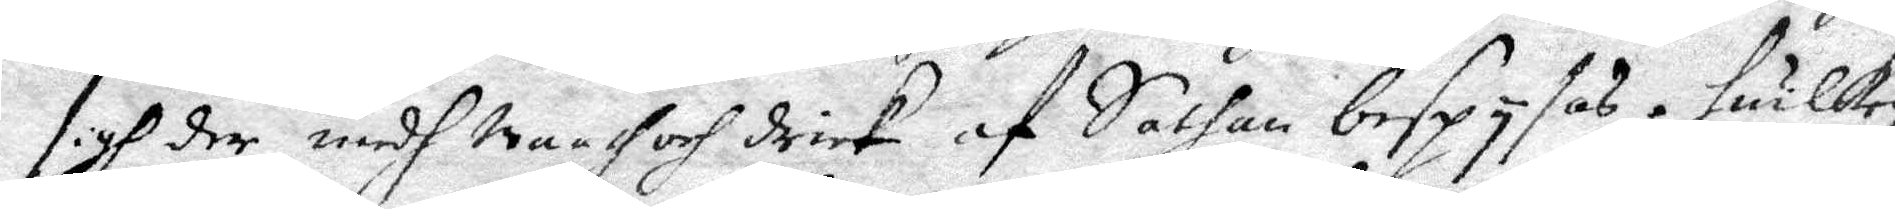sigh der medh maath och drick af Sathan bespysas. huilken
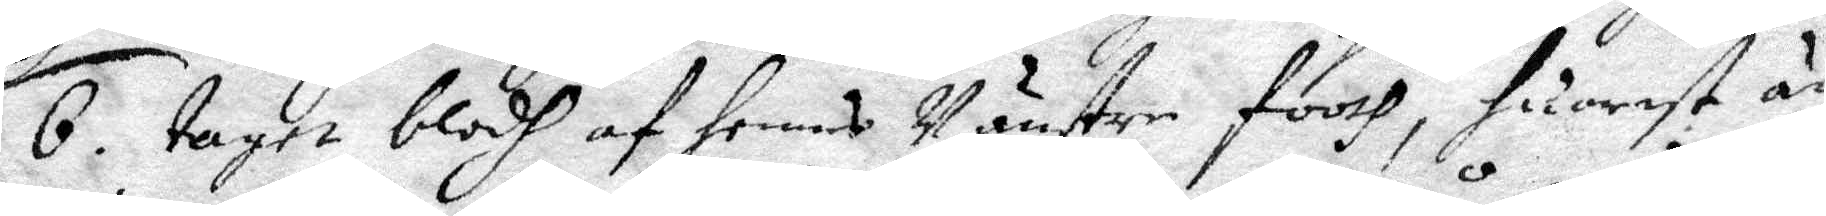6. taget blodh af hennes Vänster footh, huarest än
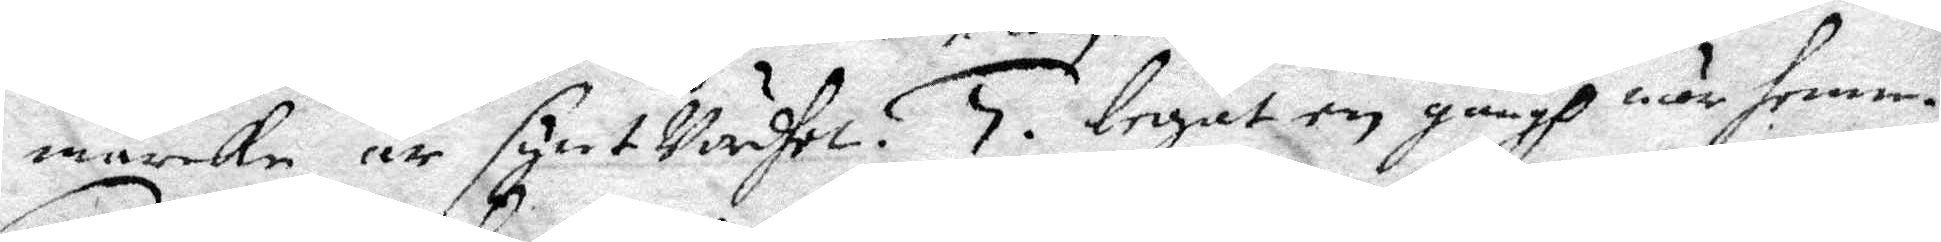märken är synt Vurdher. 5. legat en gångh när henne.
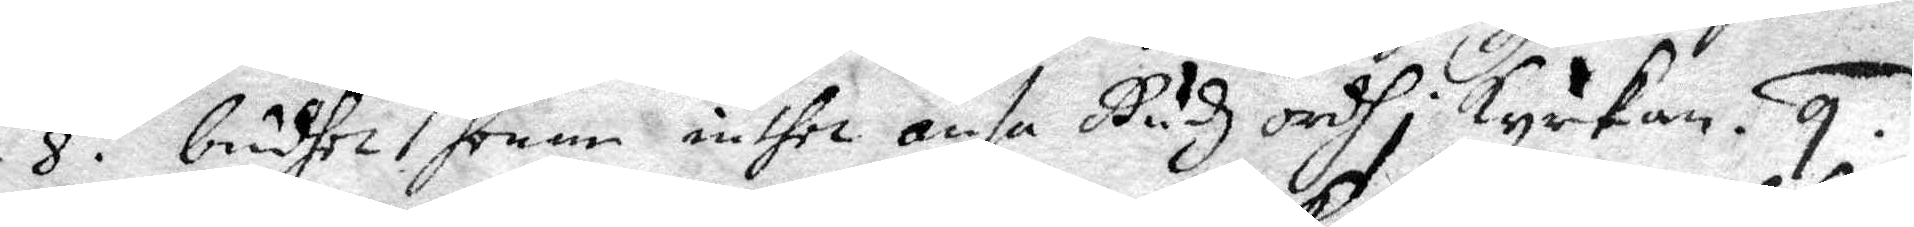8. budhet honom inthet ansa Gudh ordh i kyrkan. 9.
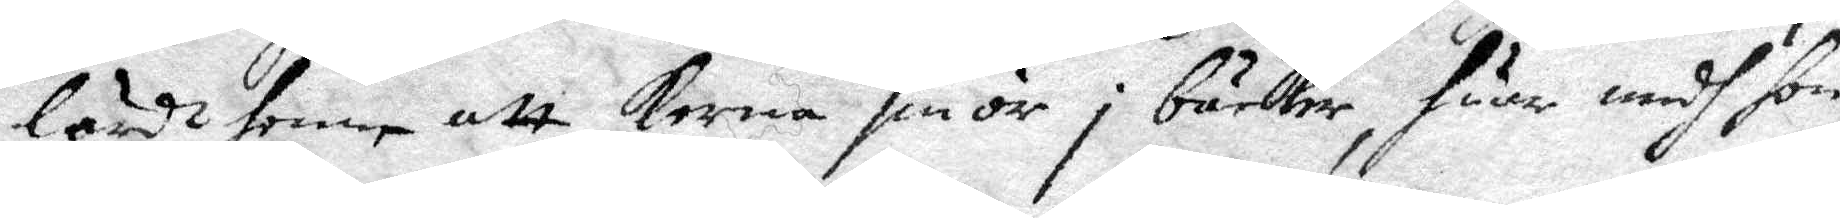lärdt henne att kerna smör i bäcker, huar medh hon
